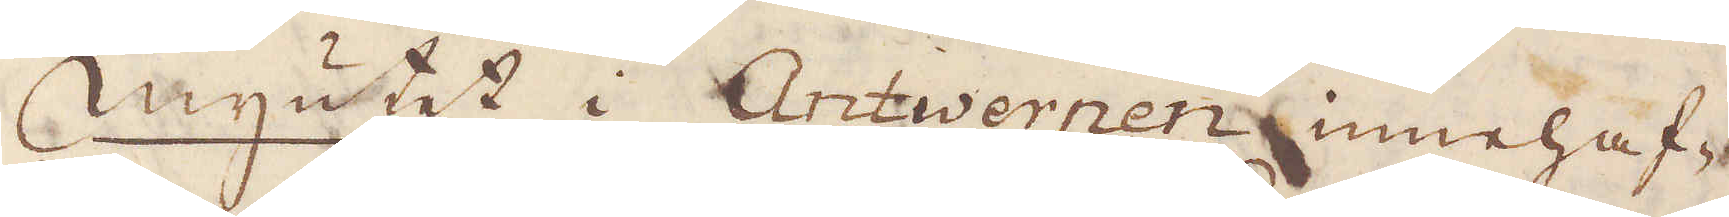Myntet i Antwerpen innehaf-
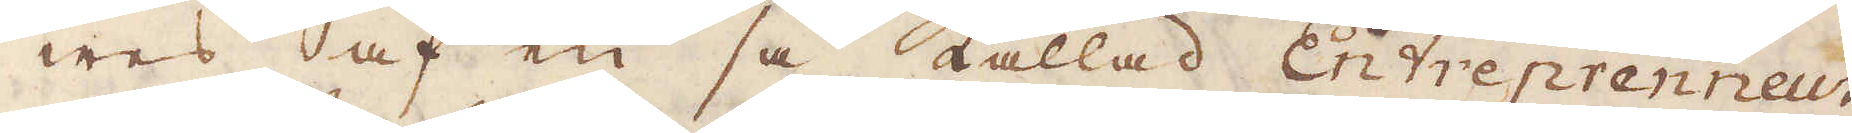wes af en så kallad Entreprenneur,
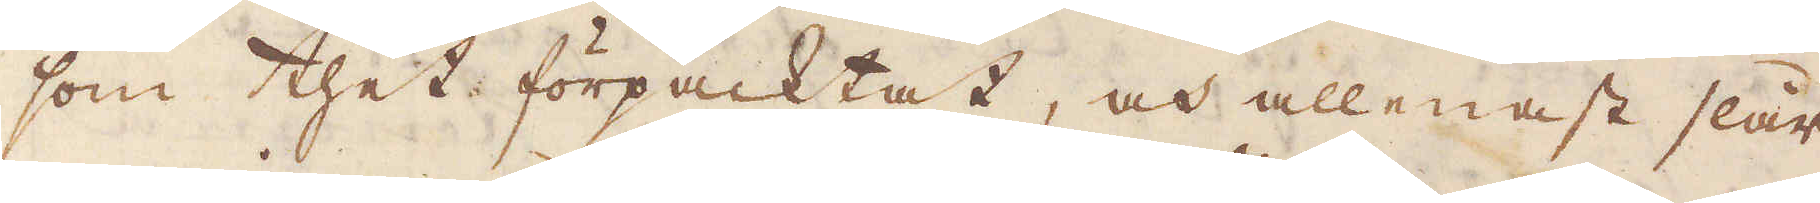som thet förpacktat, och allenast slår
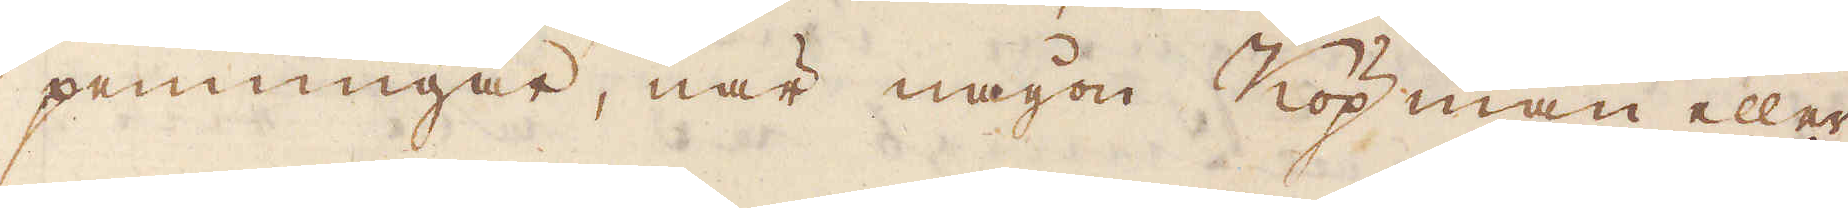penningar, när någon Köpman eller
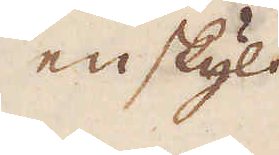enskylt
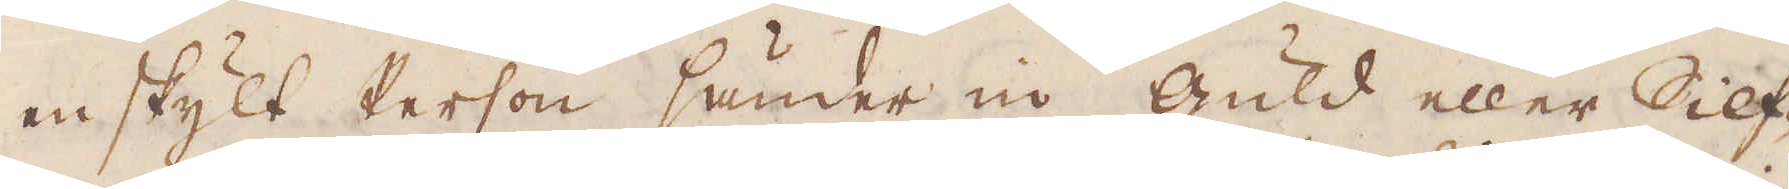enskylt Person sänder in Guld eller Silf-
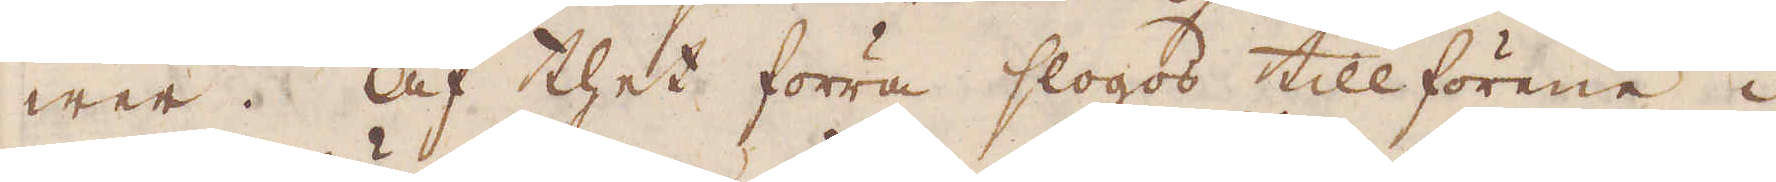wer. Af thet förra slogos tillförene i
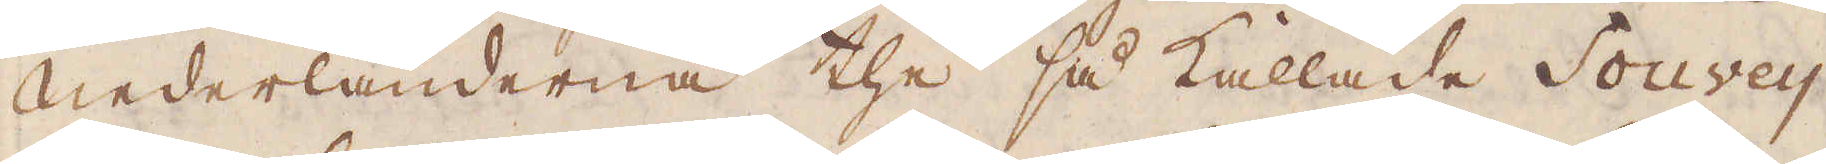Nederländerna the så kallade Souwey-
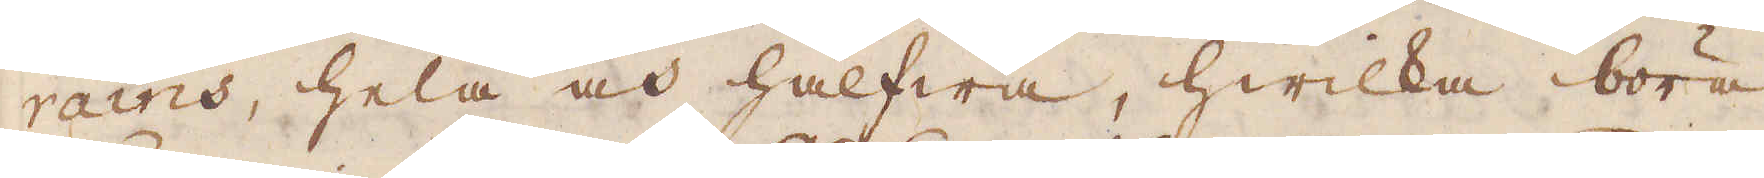rains, hela och halfwa, hwilka böra
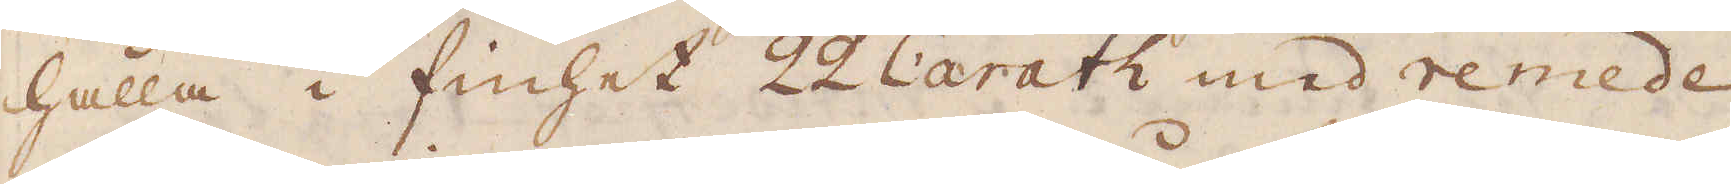hålla i finhet 22 Carath med remede
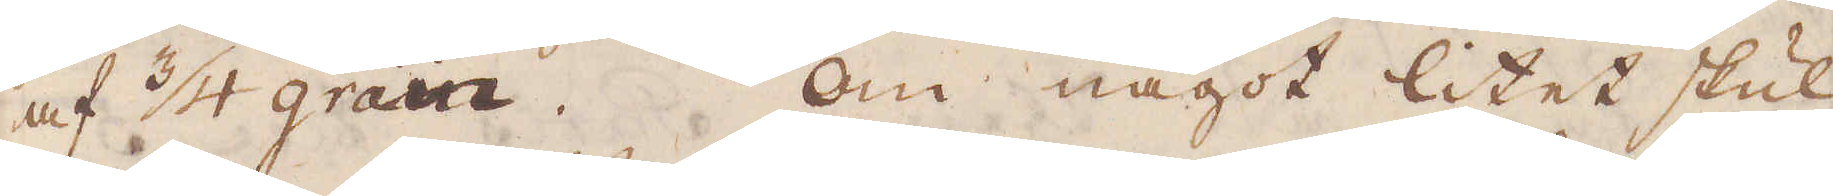af 3/4 grain. Om något litet skul-
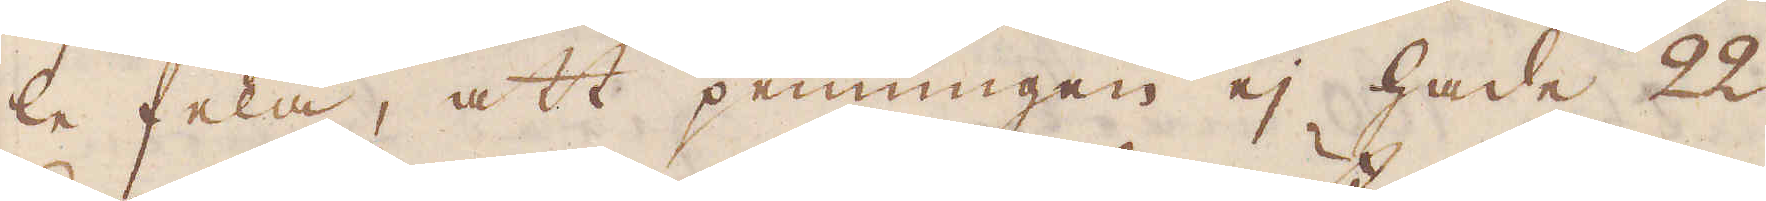le fela, att penningen ej hade 22
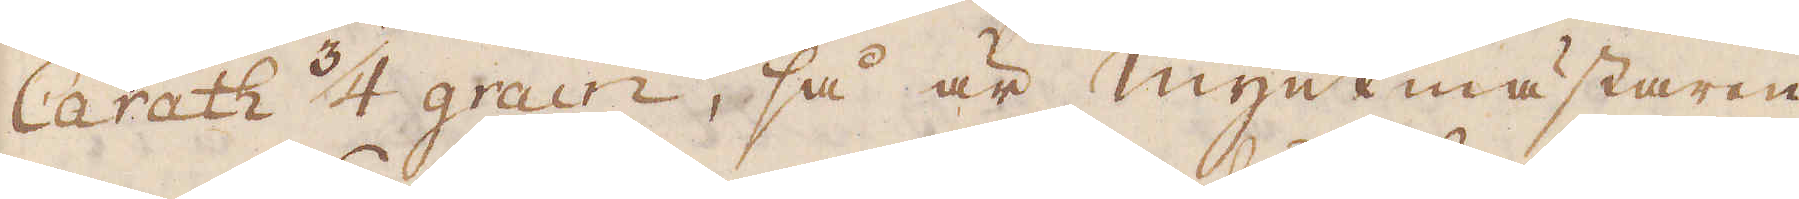Carath 3/4 grain, så är Myntmästaren
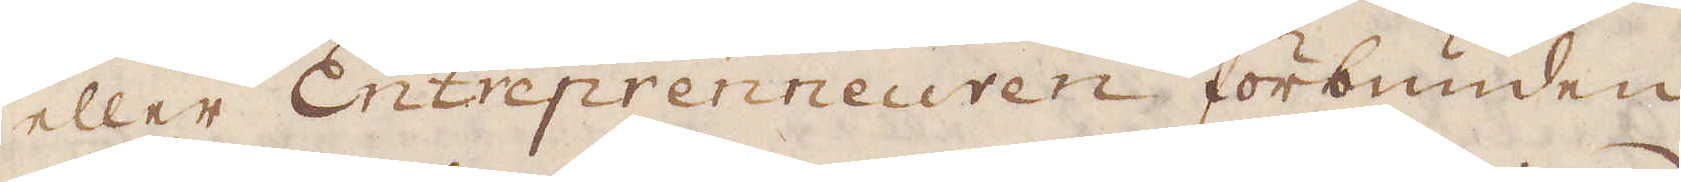eller Entreprenneuren förbunden
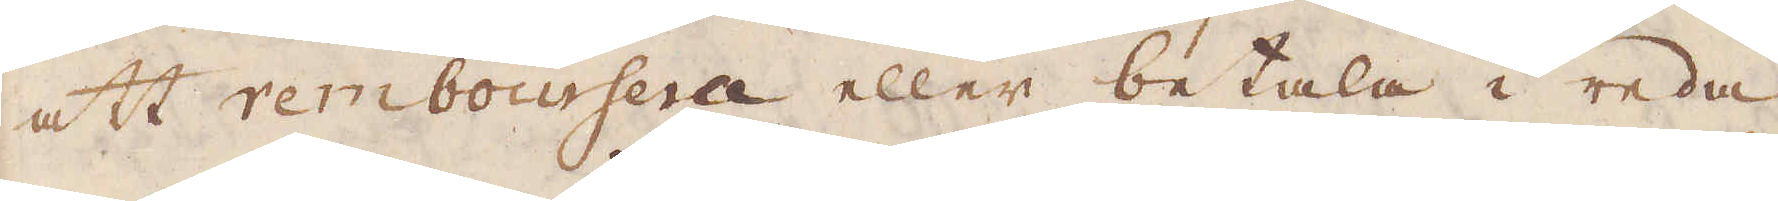att remboursera eller betala i reda
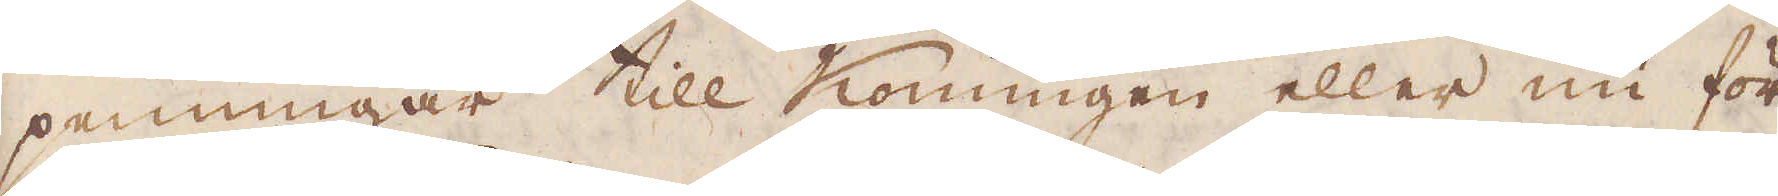penningar till Konungen eller nu för
